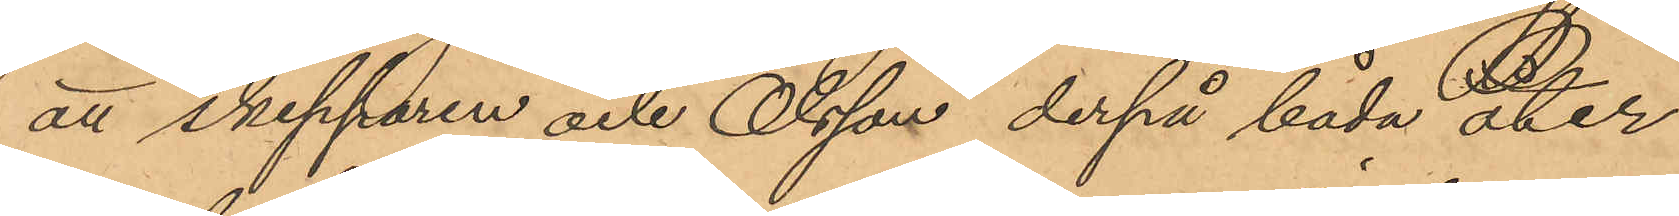att skepparen och Olsson derpå båda åter
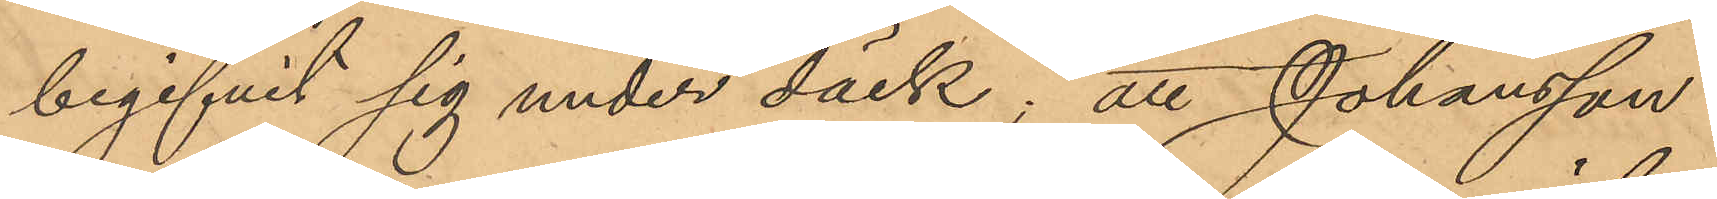begifvit sig under däck; att Johansson
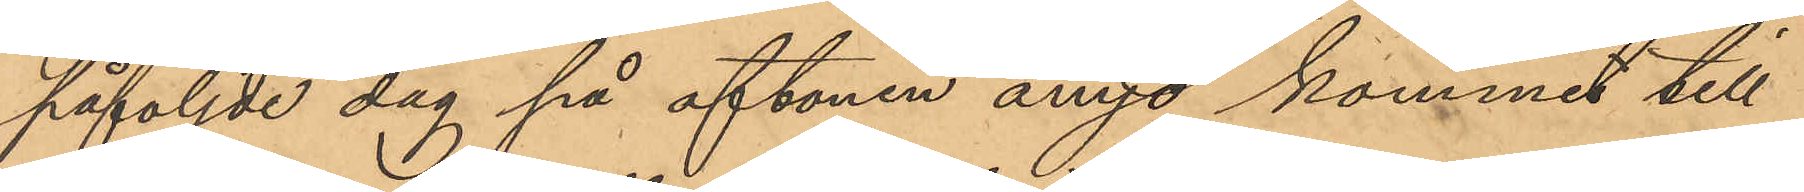påföljde dag på aftonen ånyo kommit till
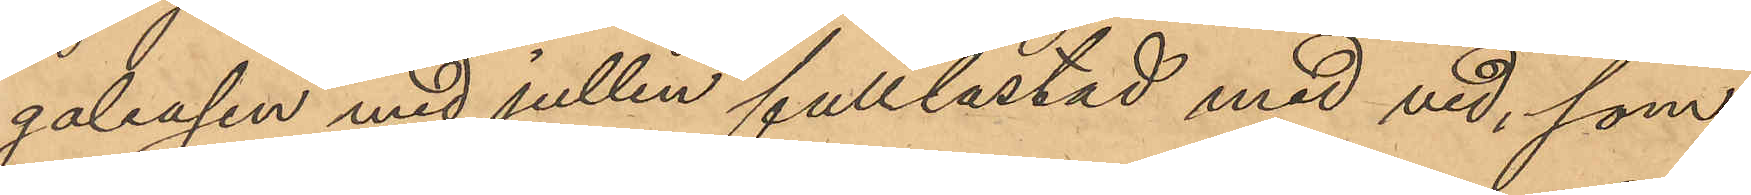galeasen med jullen fulllastad med ved, som
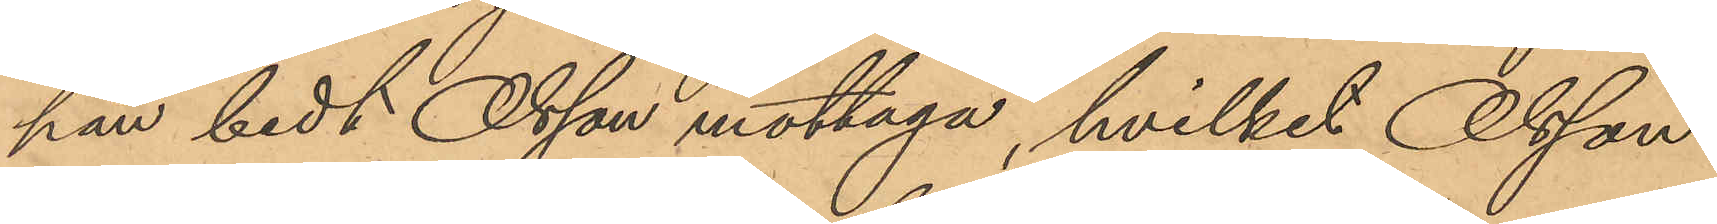han bedt Olsson mottaga, hvilket Olsson
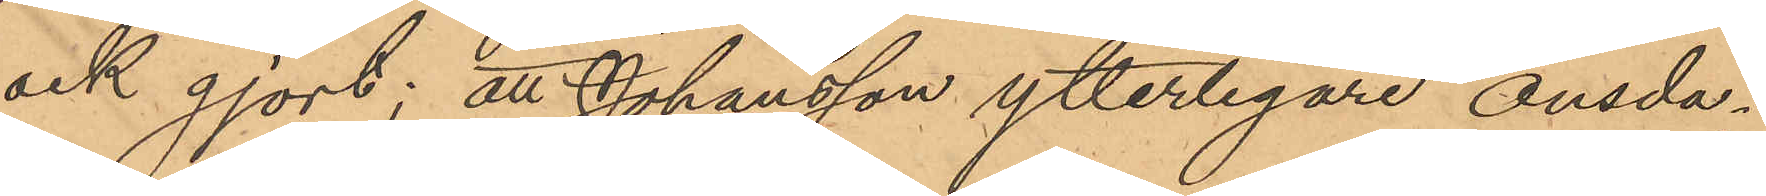ock gjort; att Johansson ytterligare onsda¬
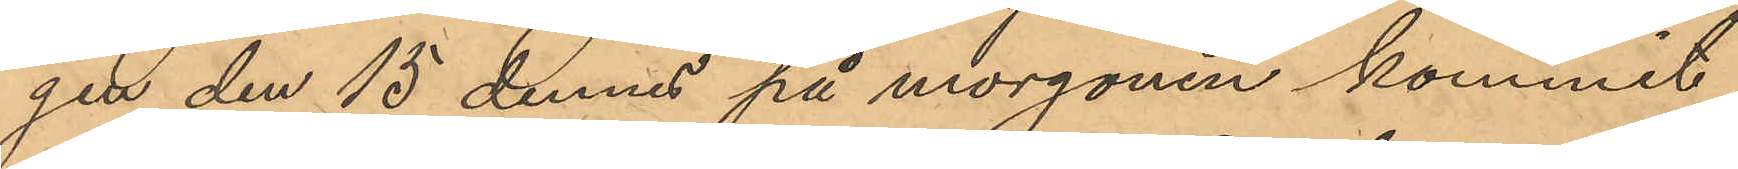gen den 15 dennes på morgonen kommit
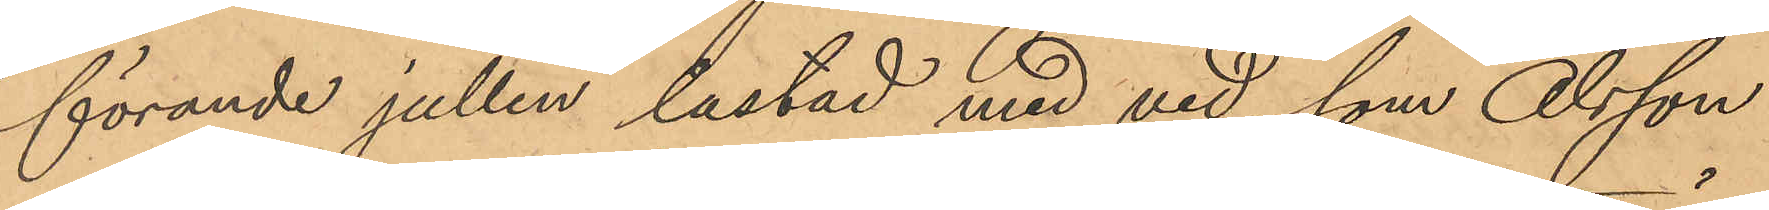förande jullen lastad med ved, som Olsson
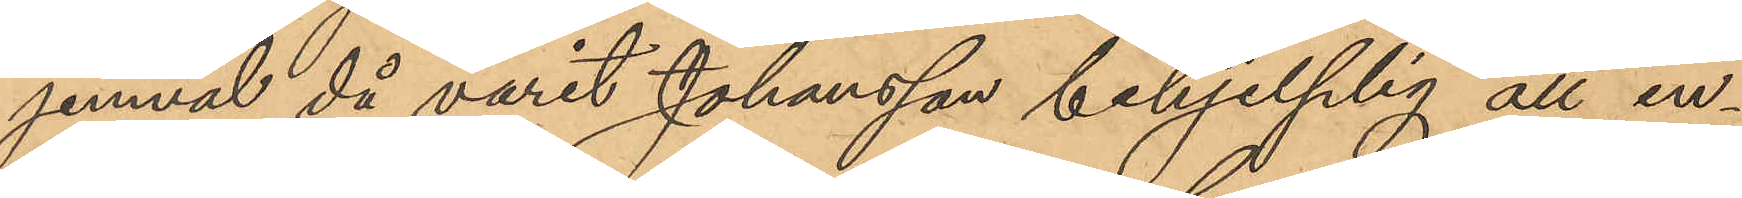jemväl då varit Johansson behjelplig att in¬
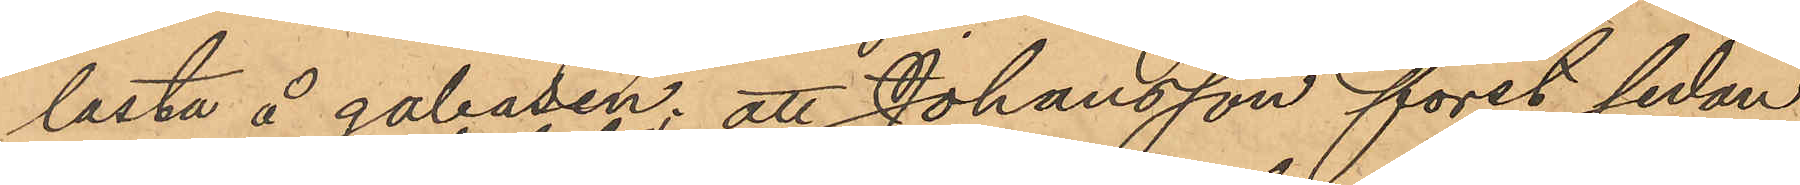lasta å galeasen; att Johansson först sedan
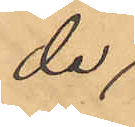de avseglat
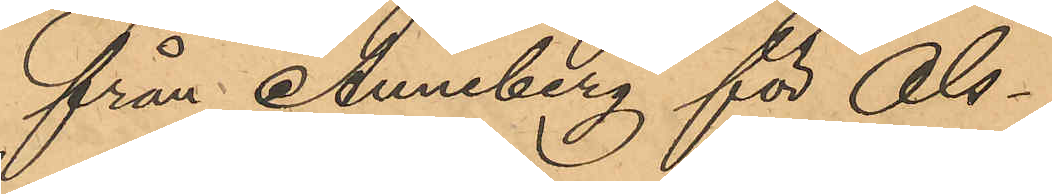från Anneberg för Ols¬
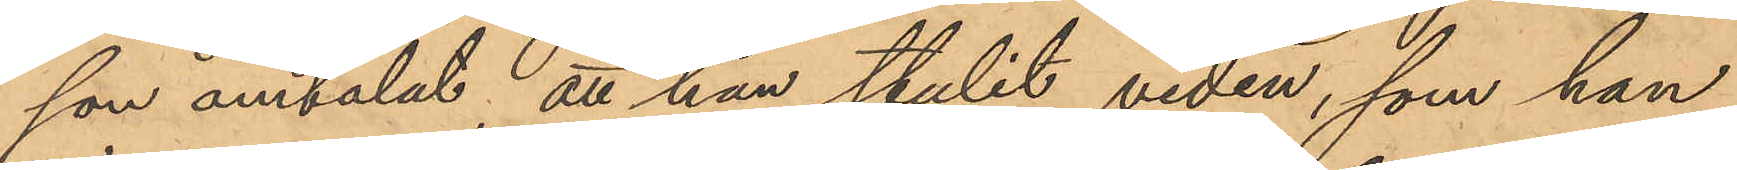son omtalat att han stulit veden, som han
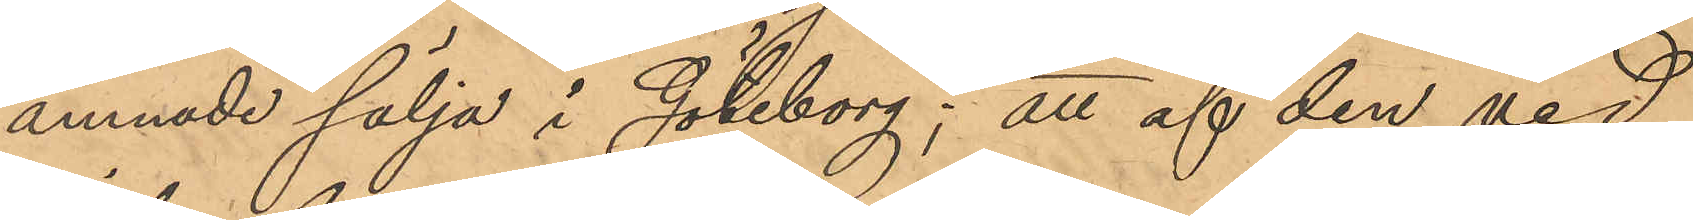ämnade sälja i Göteborg; att af den ved
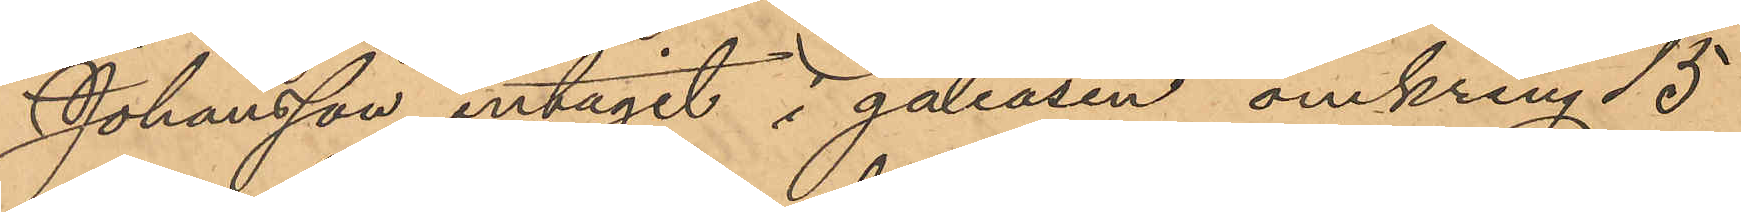Johansson intagit i galeasen omkring 15
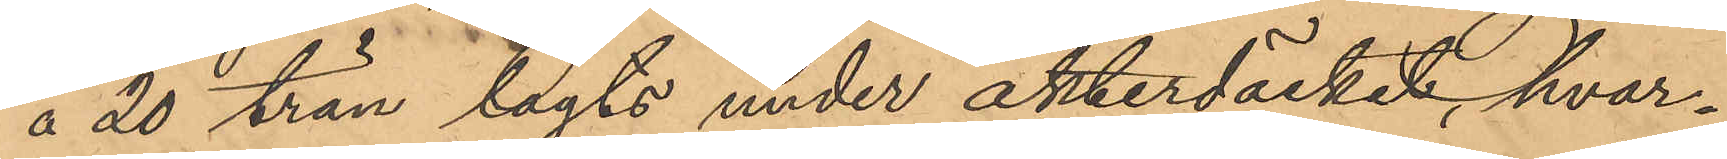á 20 trän tagts under akterdäcket, hvar¬
